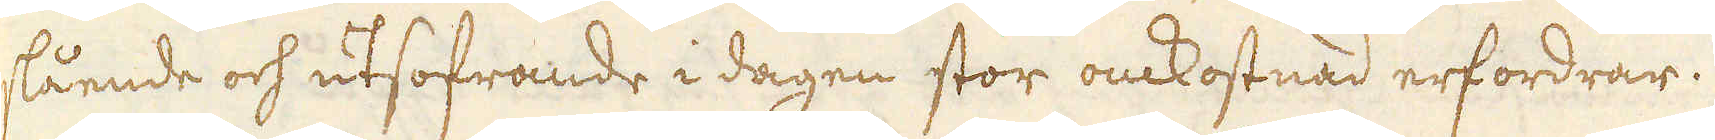slående och utsofrande i dagen stor omkostnad erfordrar.
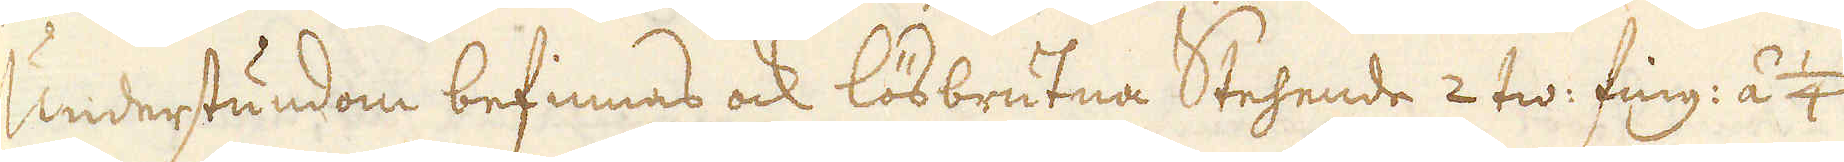Understundom befinnas ock lösbrutna Stehende 2 tw: fing: á 1/4
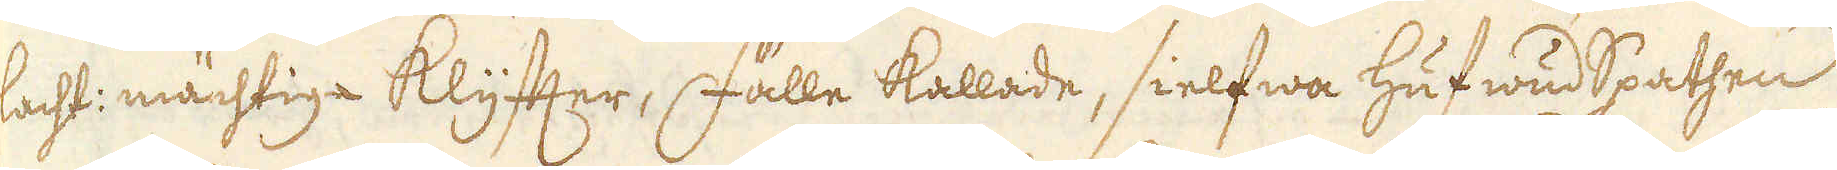lacht: mächtiga klyfter, fälle kallade, sielfwa hufwud Spathen
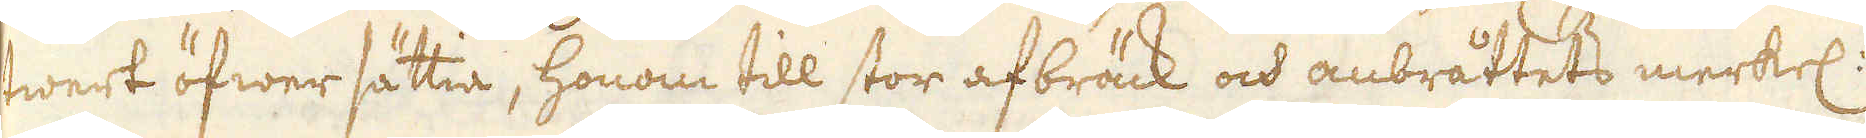twert öfwersättia, honom till stor afbräck och anbråttets merkel:
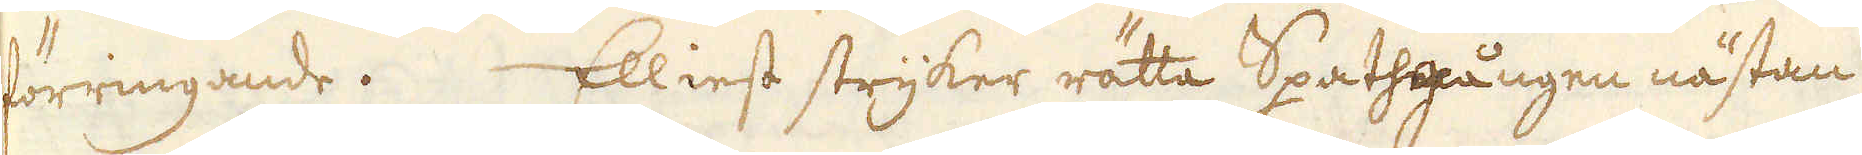förringande. Elliest stryker rätta Spathgången nästan
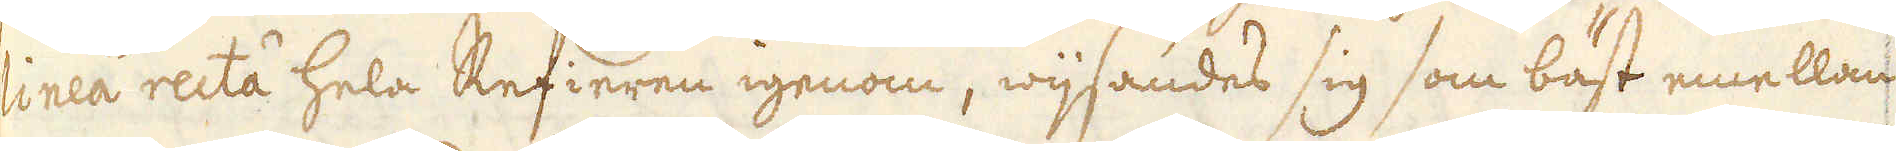linea recta hela Refieren igenom, wijsandes sig som bäst emellan
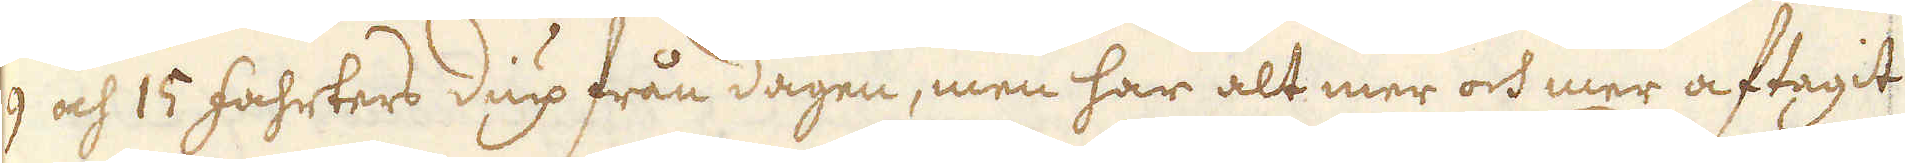9 och 15 fahrters diup från dagen, men har alt mer och mer aftagit
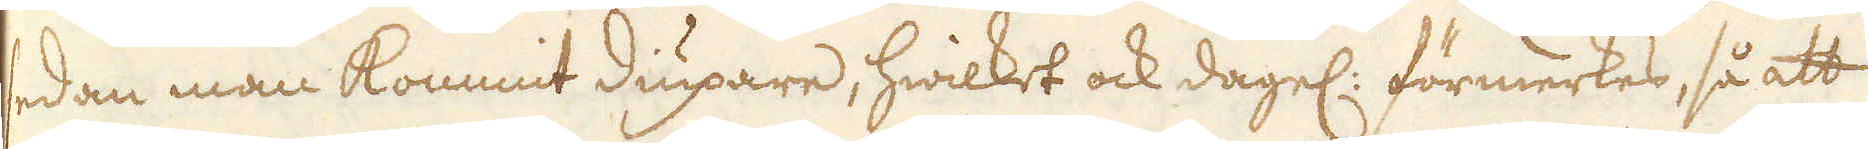sedan man kommit diupare, hwilket ock dagel: förmerkes, så att
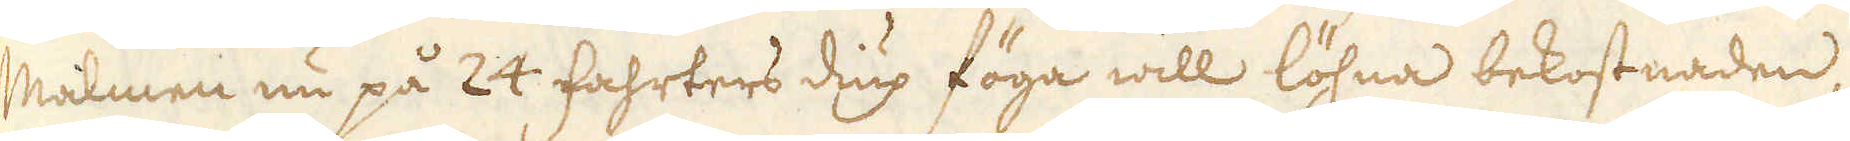Malmen nu på 24 fahrters diup föga will löhna bekostnaden
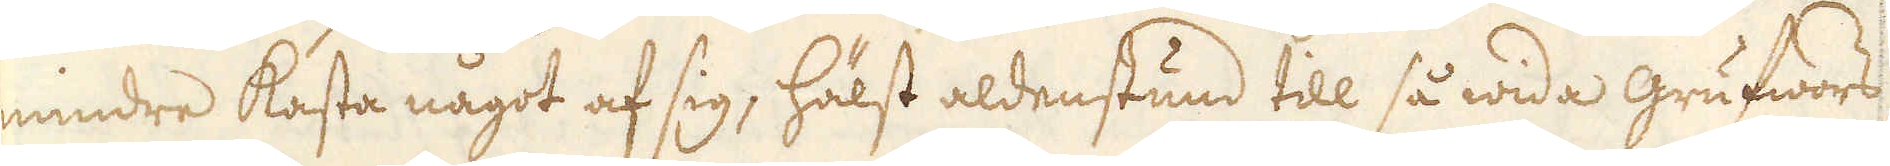mindre kasta något af sig, hälst aldenstund till så wida grufwors
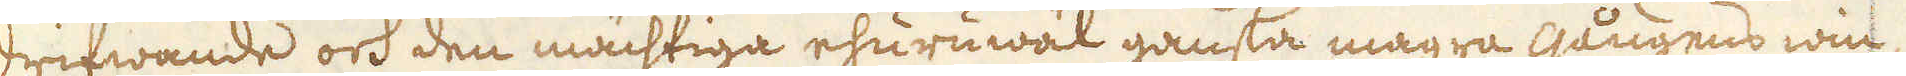drifwande och den mächtiga ehuruwäl ganska magra gångens win-
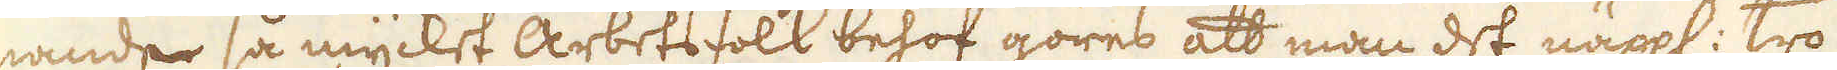nande så mycket arbetsfolk behof göres att man det näppl: tro
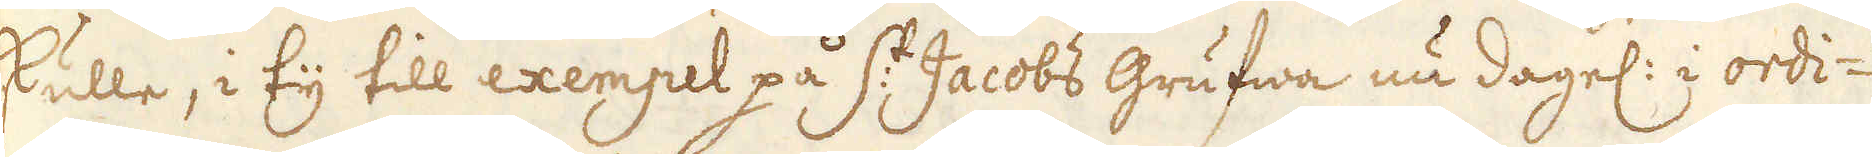skulle, i ty till exempel på S:t Jacobs grufwa nu dagel: i ordi-
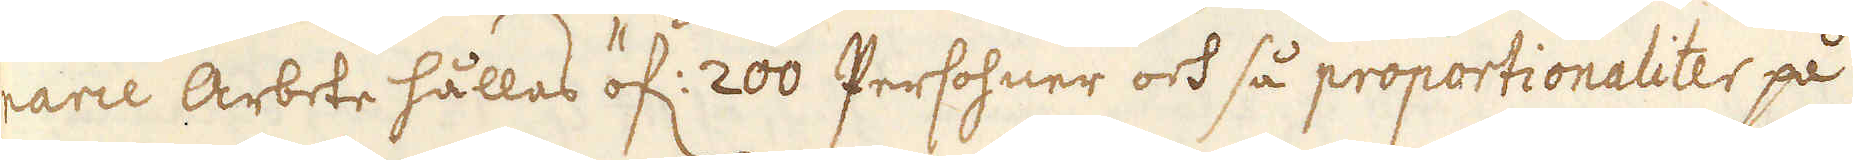narie Arbete hållas öf: 200 Persohner och så proportionaliter på
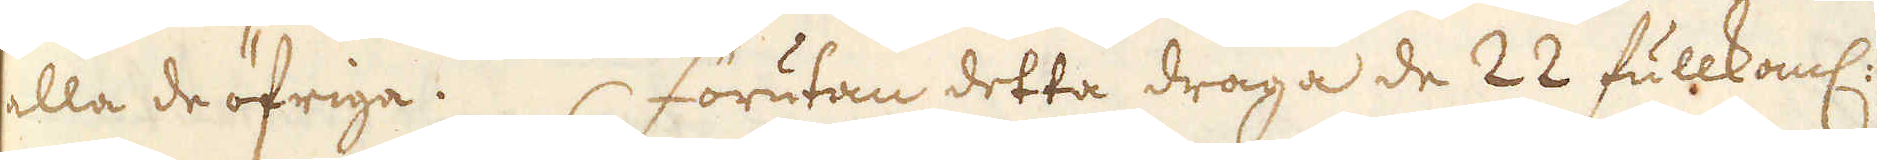alla de öfriga.  Förutan detta draga de 22 fullkoml:
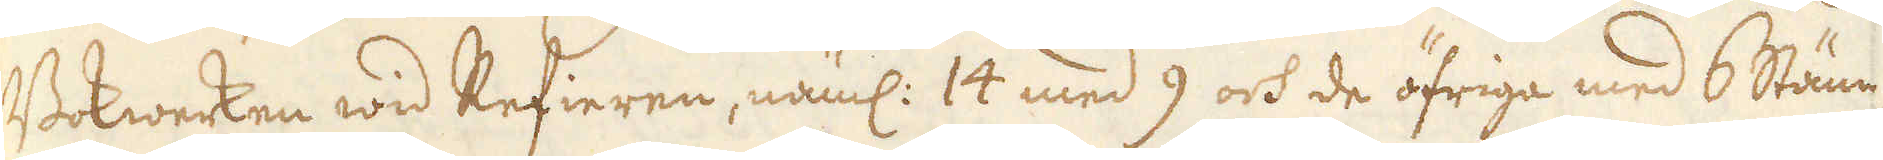Bokwerken wid Refieren, näml: 14 med 9 och de öfriga med 6 Stäm-
